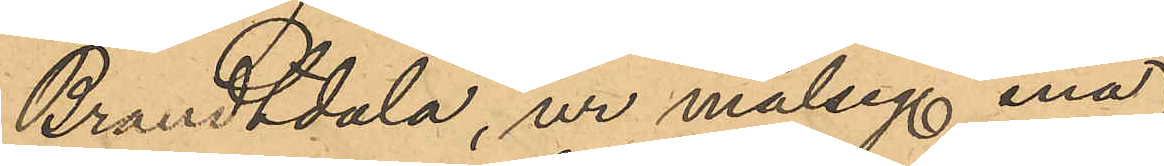Brandtdala, ur målseg enas
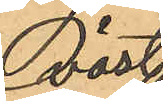väst¬
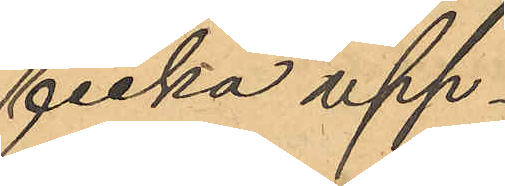ficka upp¬
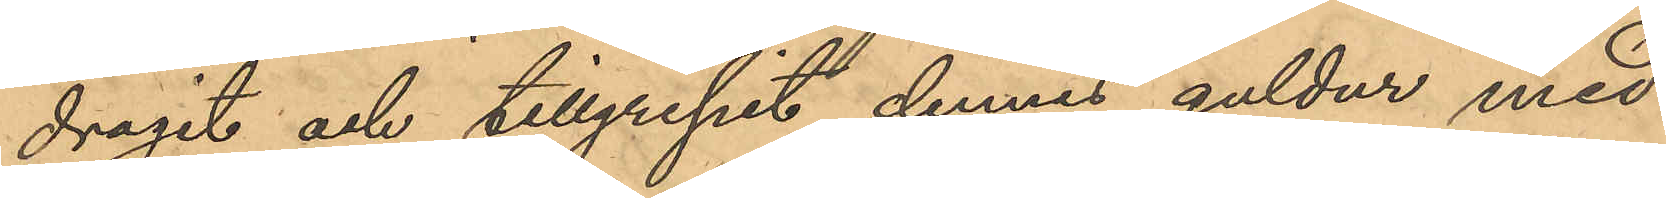dragit och tillgripit dennes guldur med
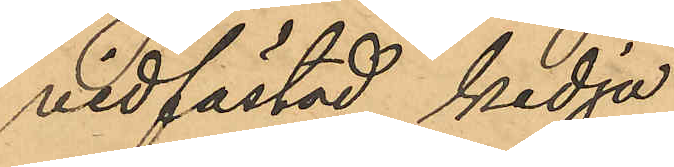vidfästad kedja
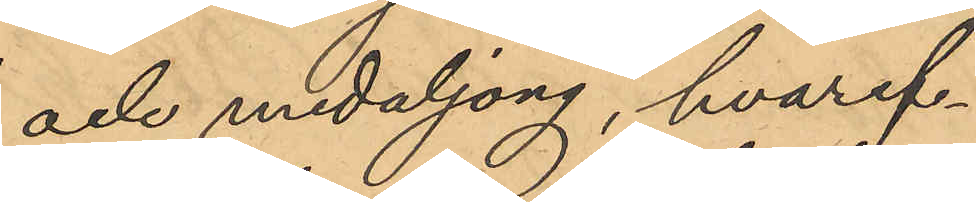och medaljong, hvaref¬
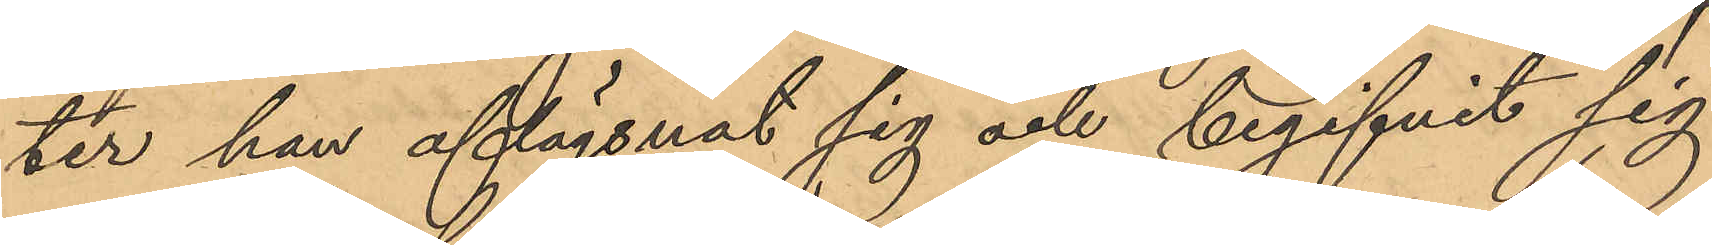ter han aflägsnat sig och begifvit sig
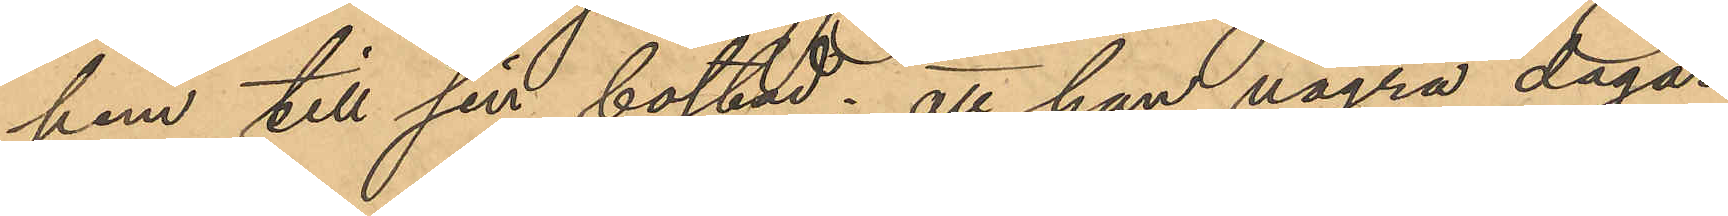hem till sin bostad; att han några dagar
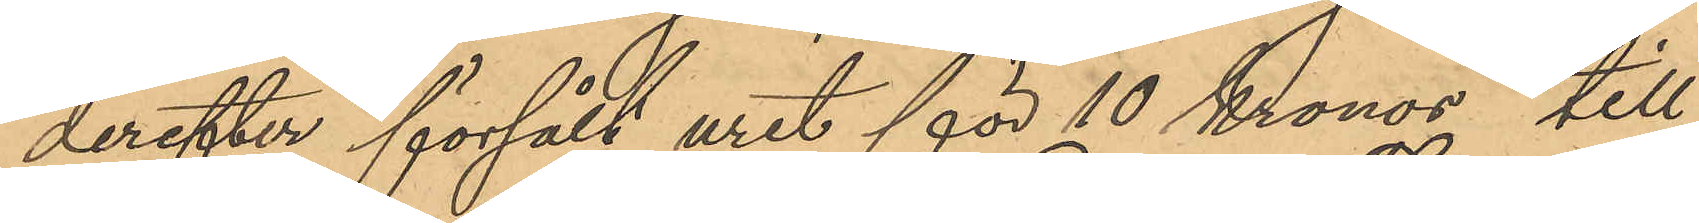derefter försålt uret för 10 Kronor till
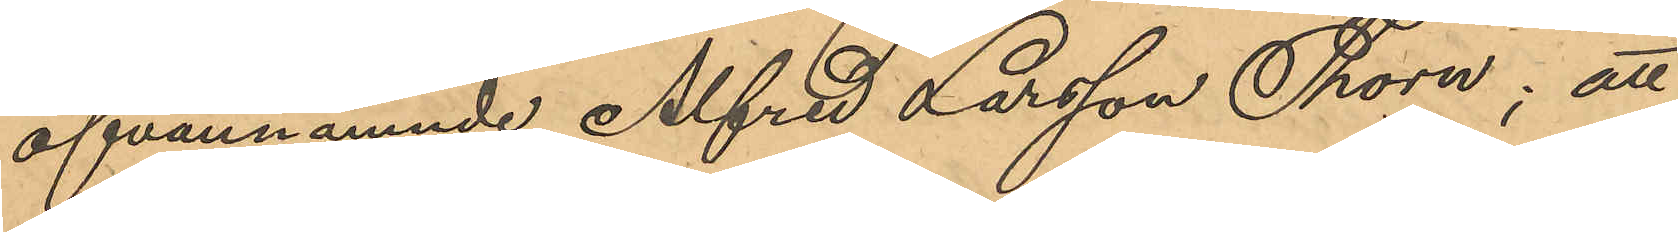ofvannämnde Alfred Larsson Thorn; att
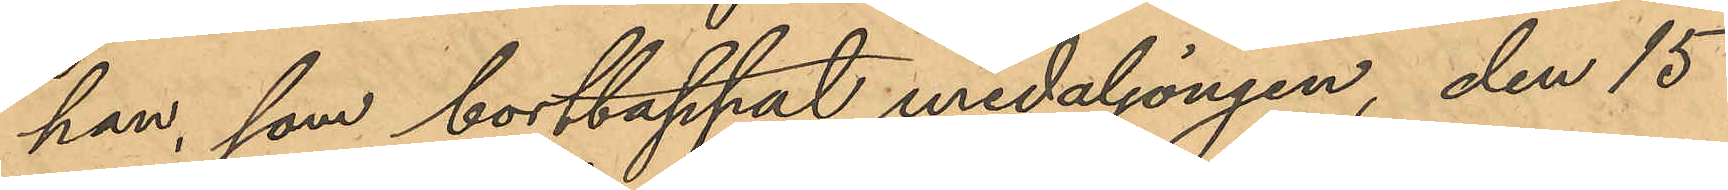han, som borttappat medaljongen, den 15
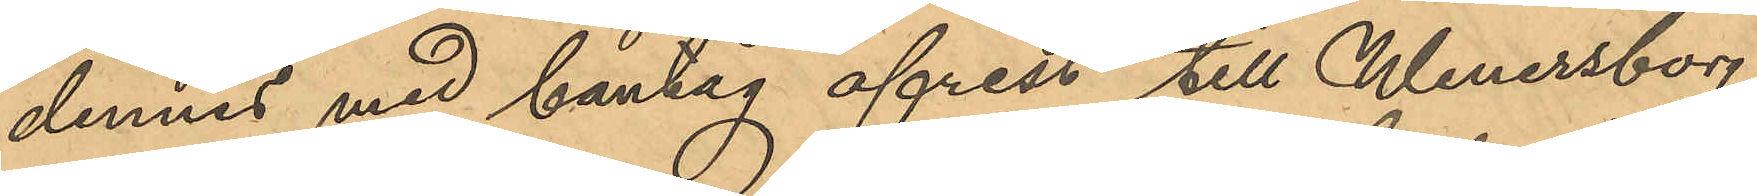dennes med bantåg afrest till Wenersborg,
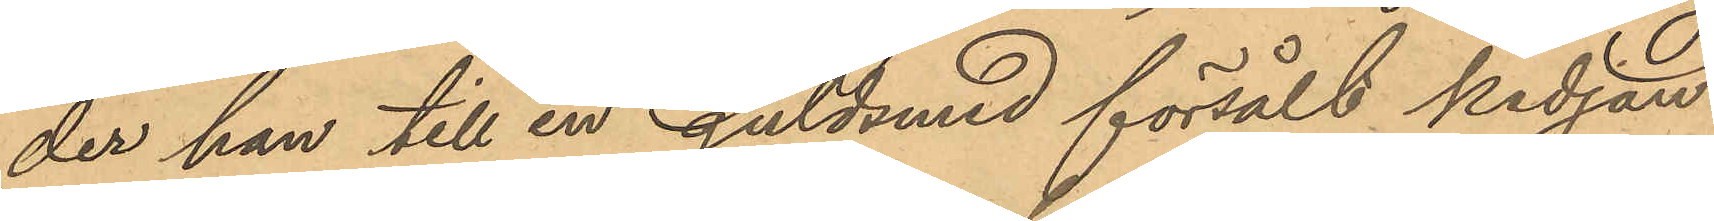der han till en guldsmed försålt kedjan
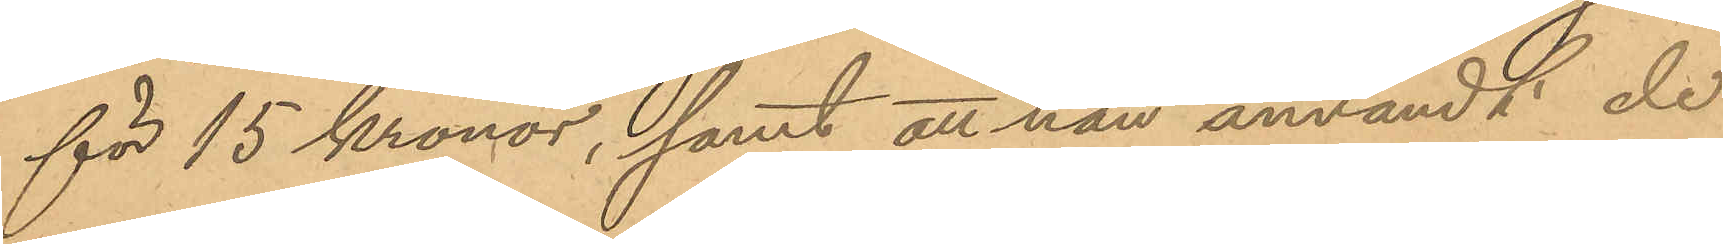för 15 Kronor, samt att han användt de
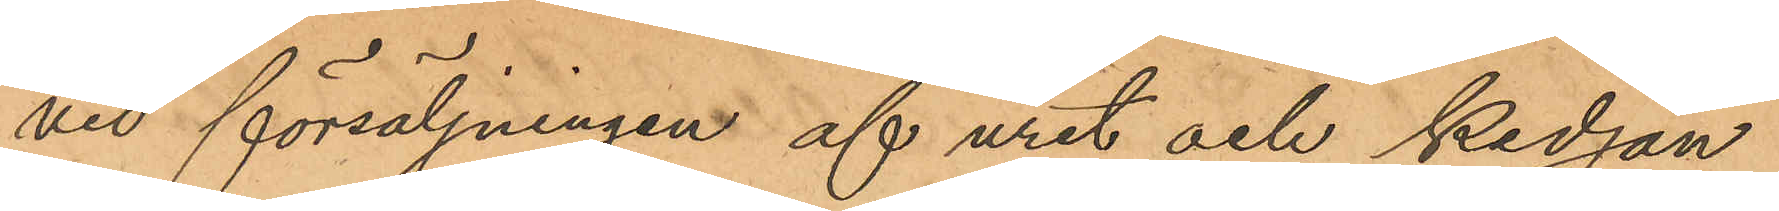vid försäljningen af uret och kedjan
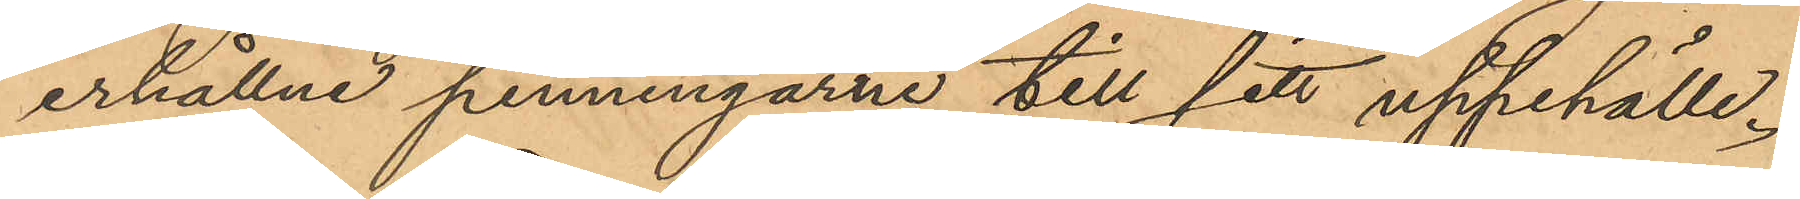erhållne penningarne till sitt uppehälle.
